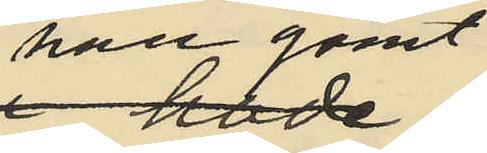han gömt
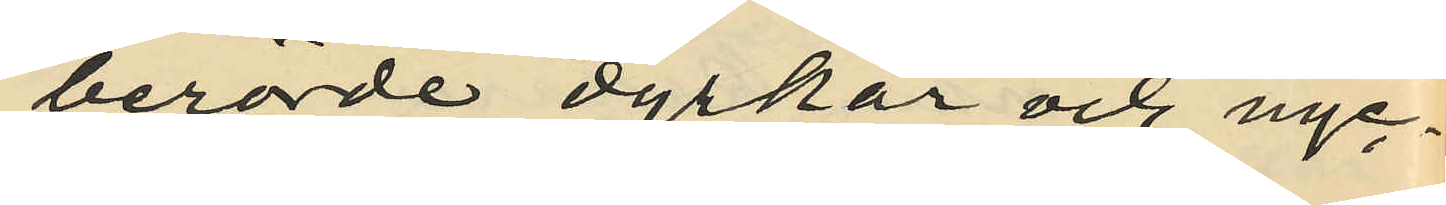berörde dyrkar och nyc¬
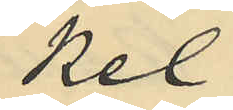kel
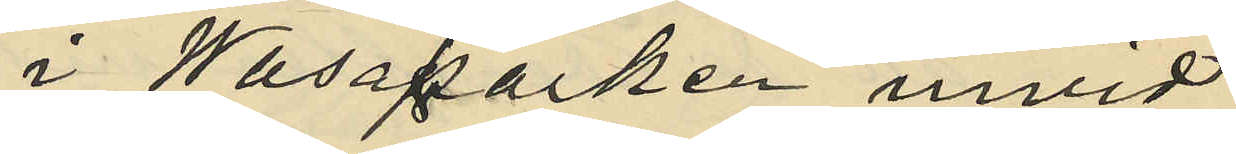i Wasaparken invid
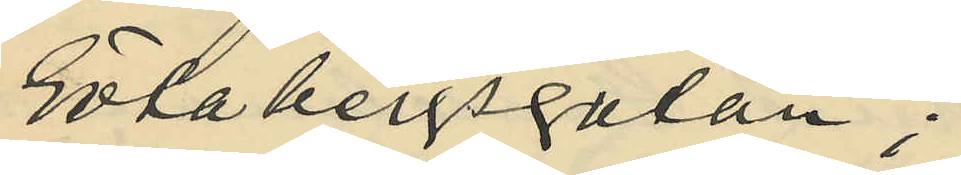Götabergsgatan;
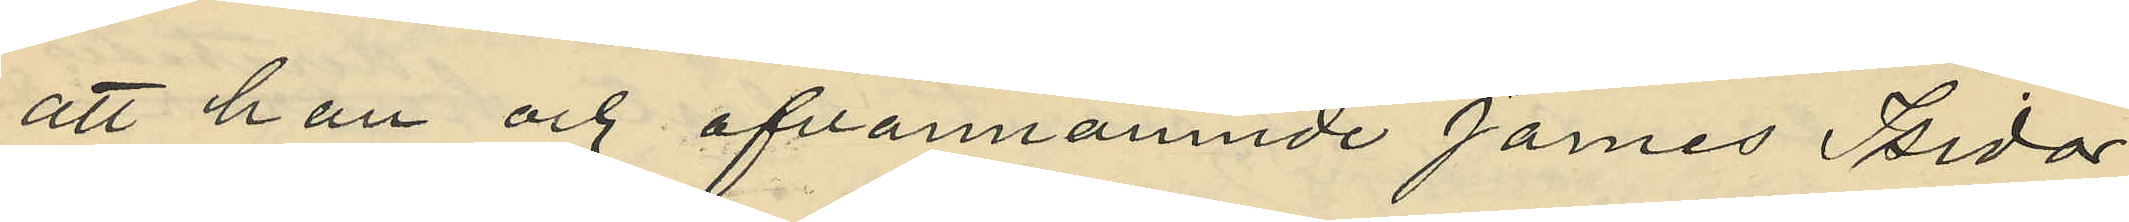att han och ofvannämnde James Isidor
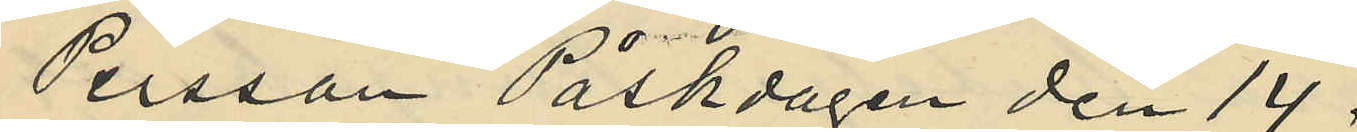Persson Påskdagen den 14
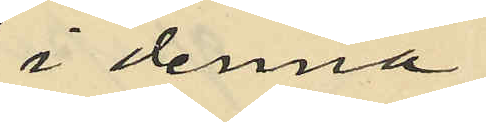i denna
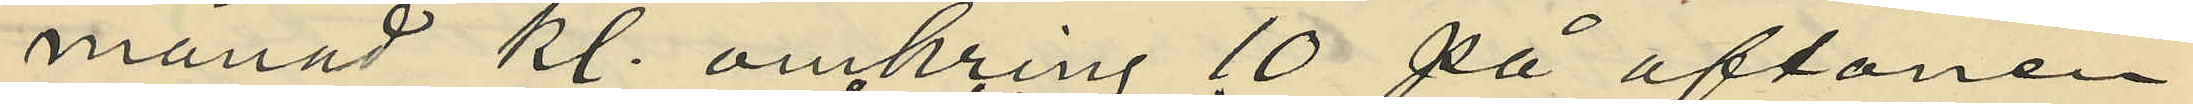månad kl. omkring 10 på aftonen
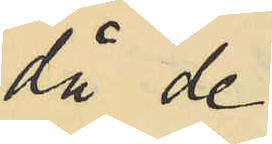då de
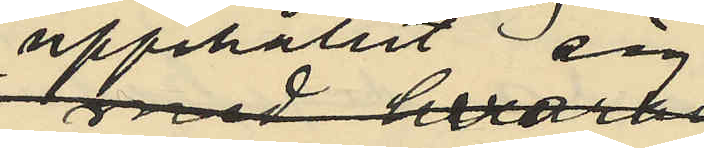upphehållit sig
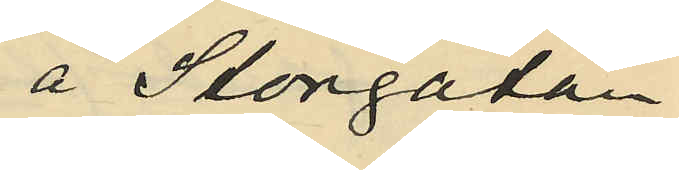å Storgatan
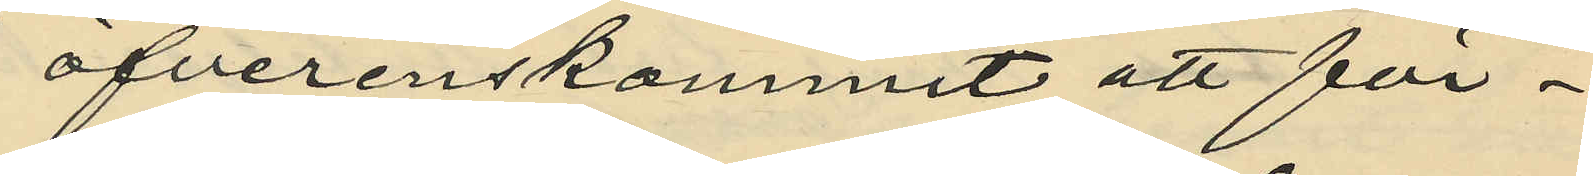öfverenskommit att för¬
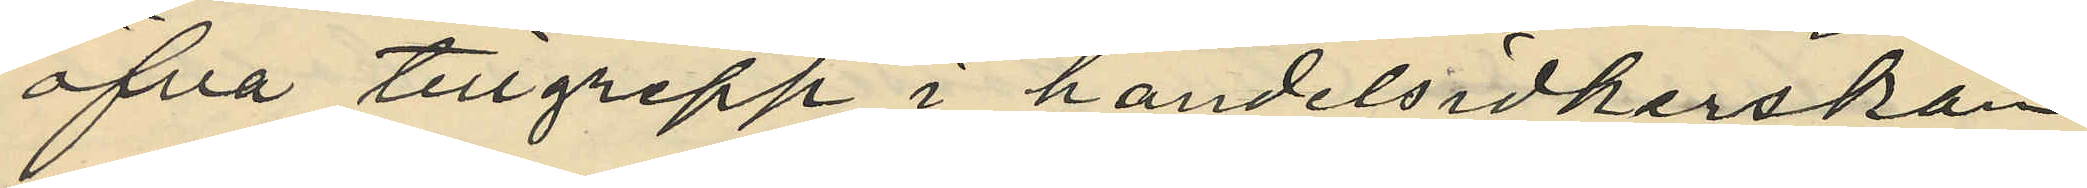öfva tillgrepp i handelsidkerskan
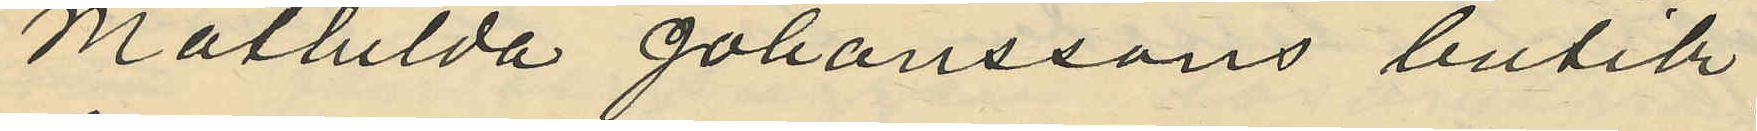Mathilda Johanssons butik
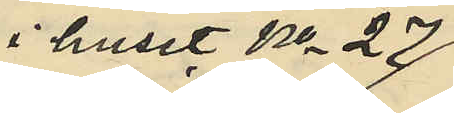i huset No 27
